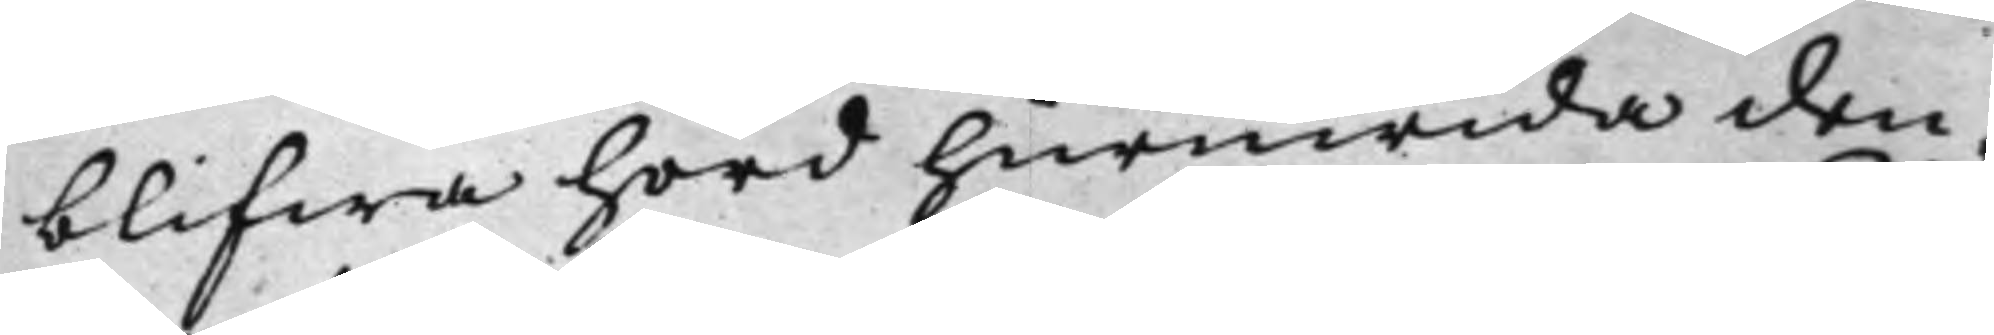blifwa hörd huruwida den¬
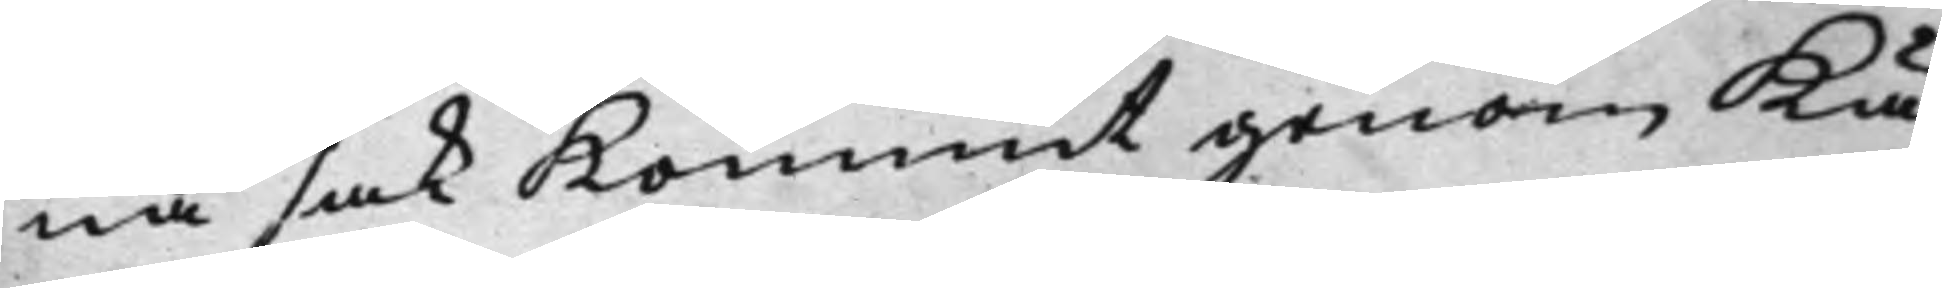na sak Kommit genom Kä¬
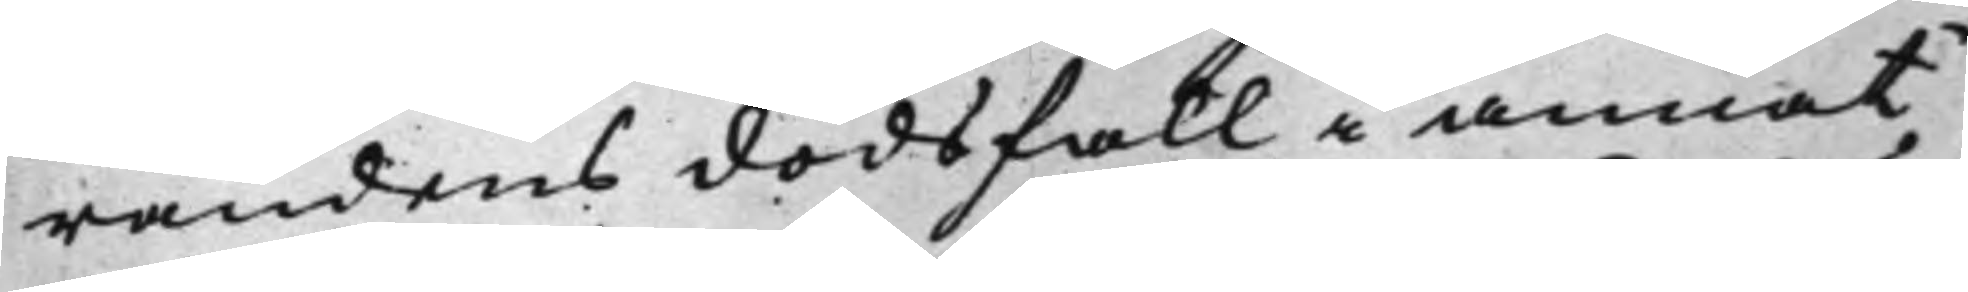randens dödsfall i annat
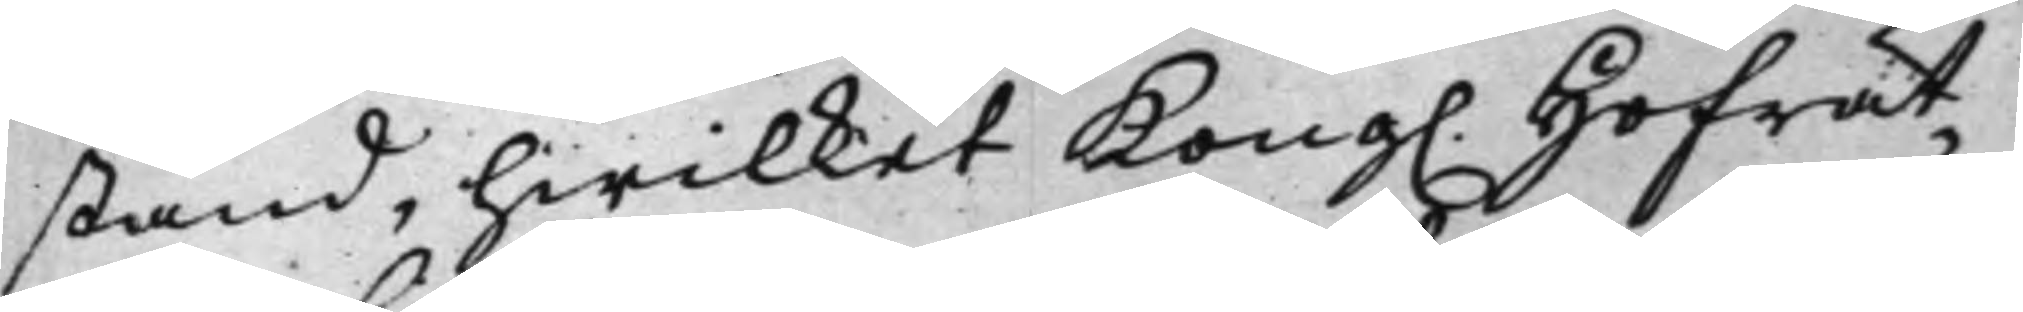stånd, hwilket Kong. Hofrät¬ 
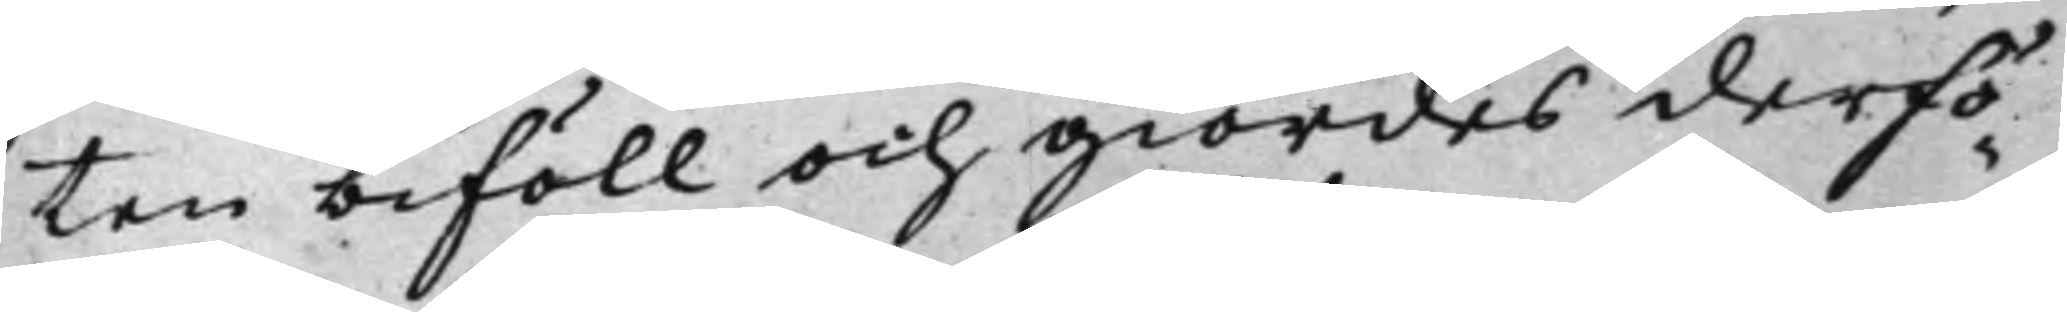ten biföll och giordes derfö¬
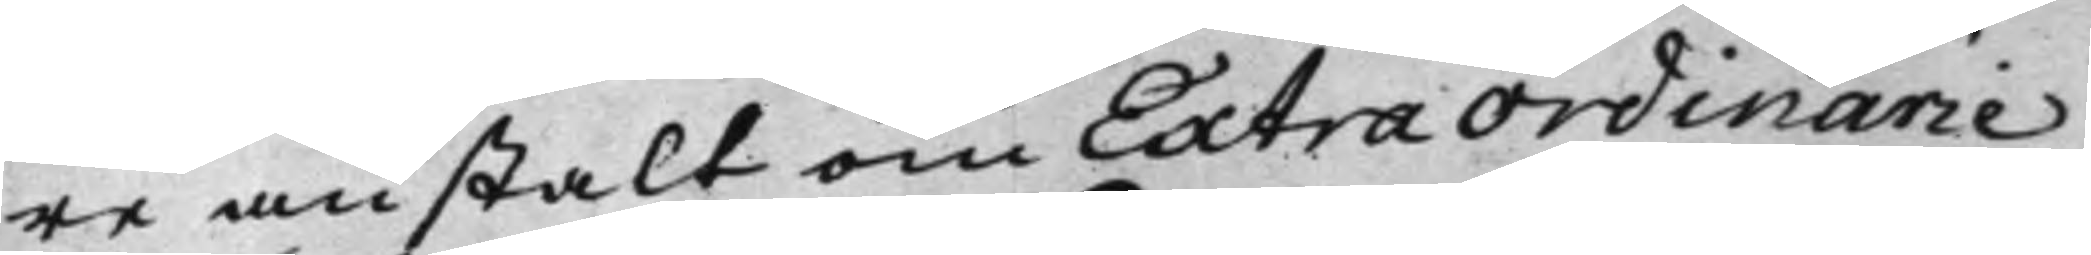re anstalt om ExtraOrdinarie
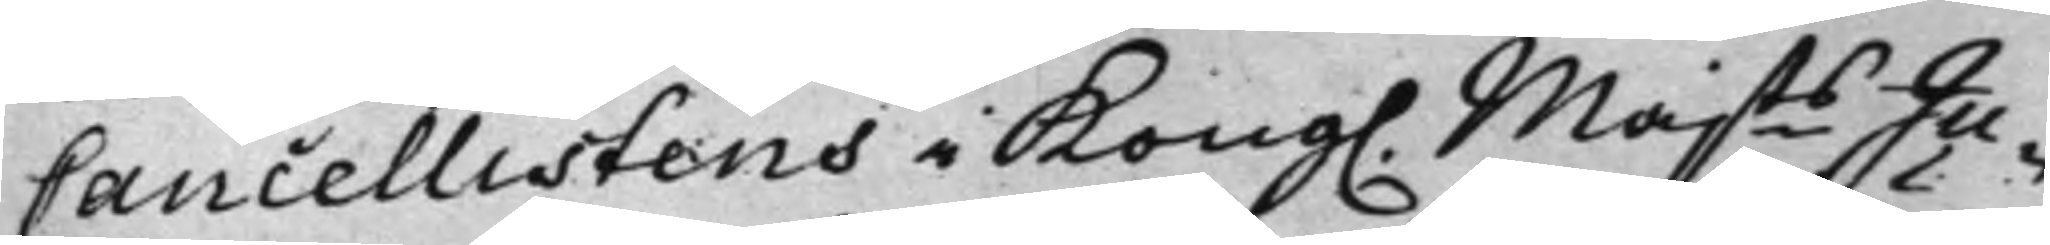Cancellistens i Kong. Majts Ju¬ 
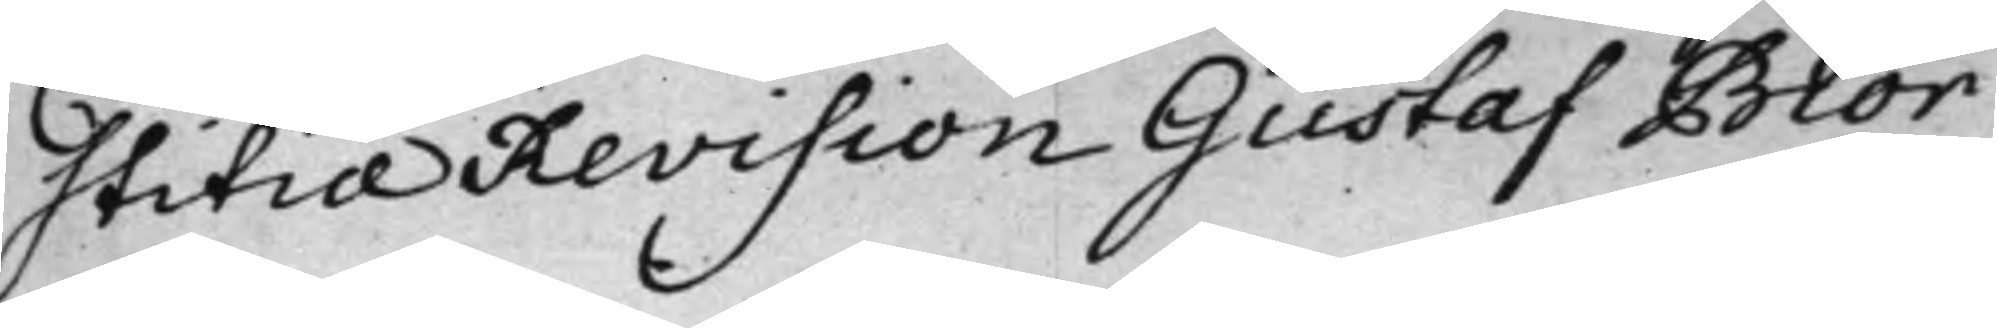stitiæRevision Gustaf Biör¬
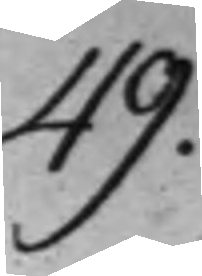49.
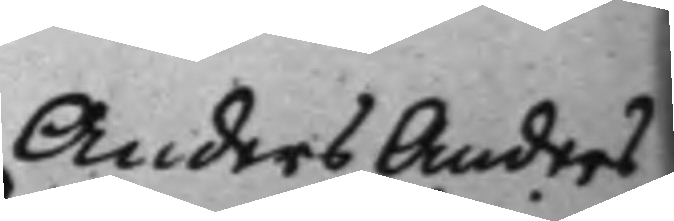Anders Anders¬ 
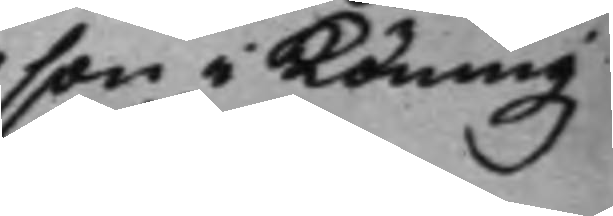son i Köningz¬
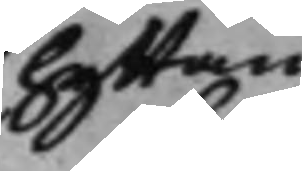hyttan
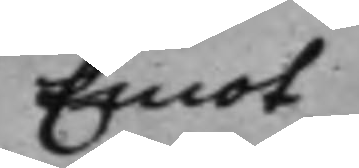Emot
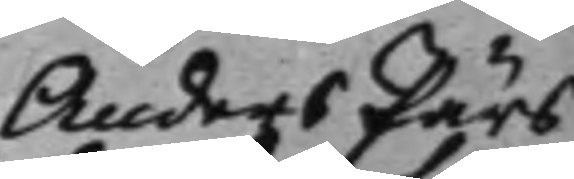Anders Pärs¬
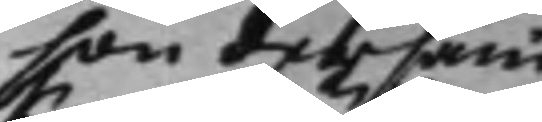son dersam¬
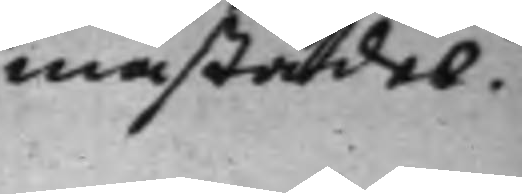mastädes.
